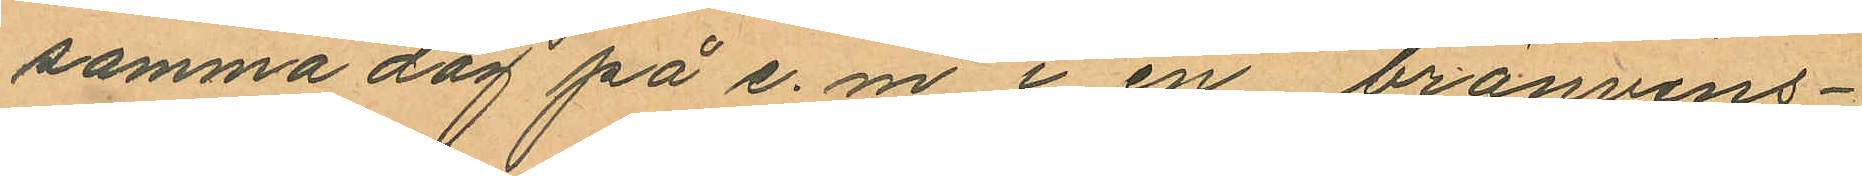samma dag på e. m i en bränvins¬
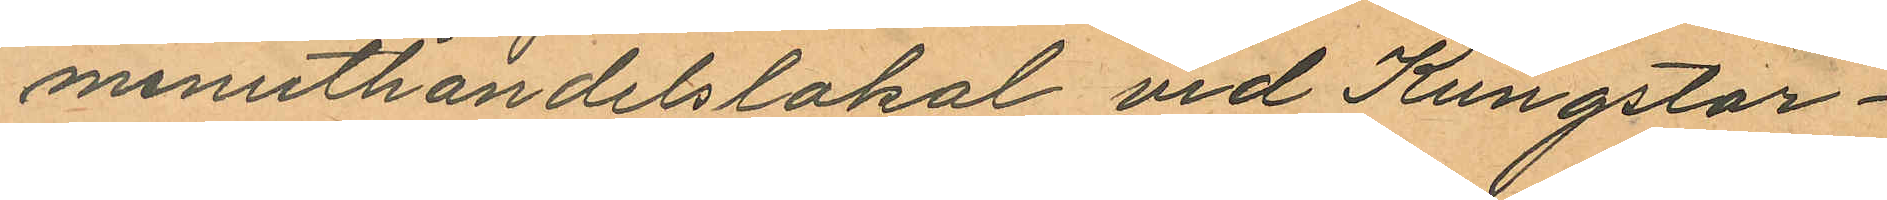minuthandelslokal vid Kungstor¬
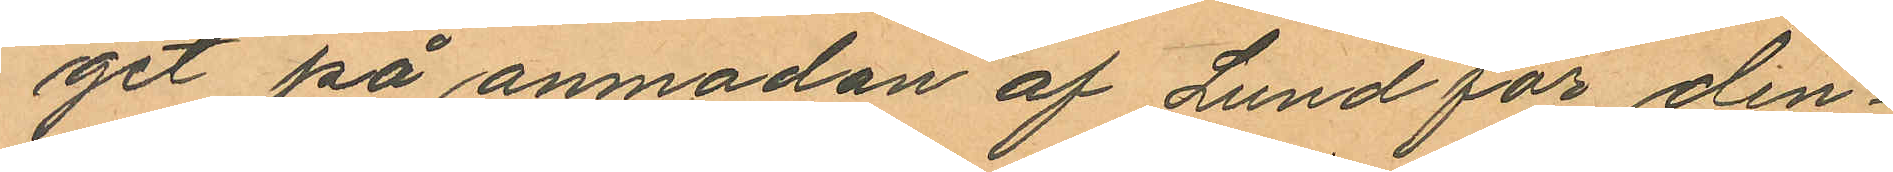get på anmodan af Lund för den¬
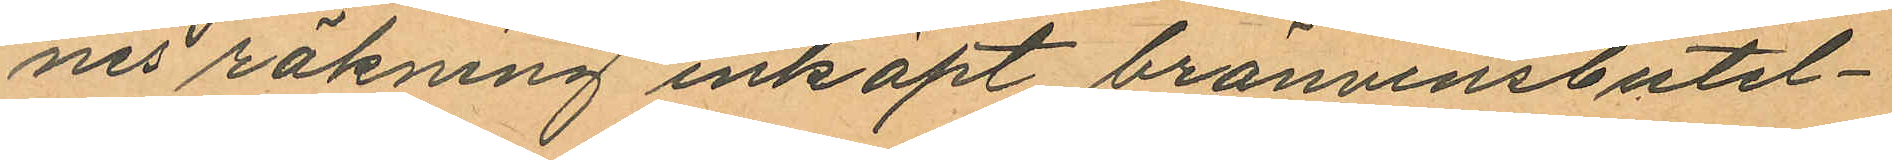nes räkning inköpt bränvinsbutel¬
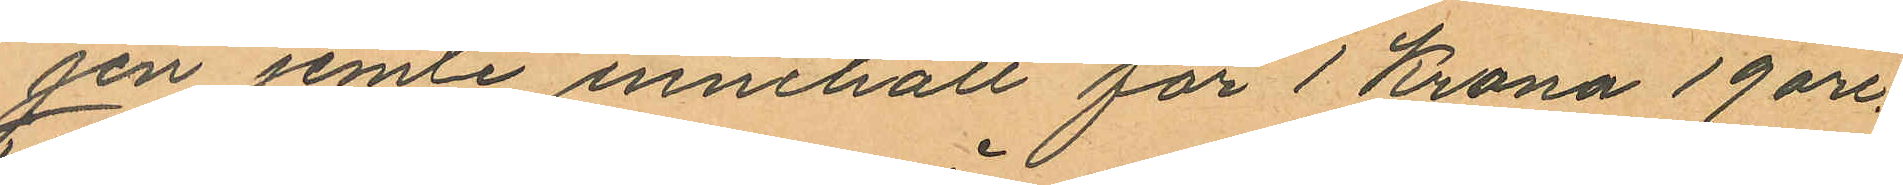jen jemte innehåll för 1 Krona 19 öre.
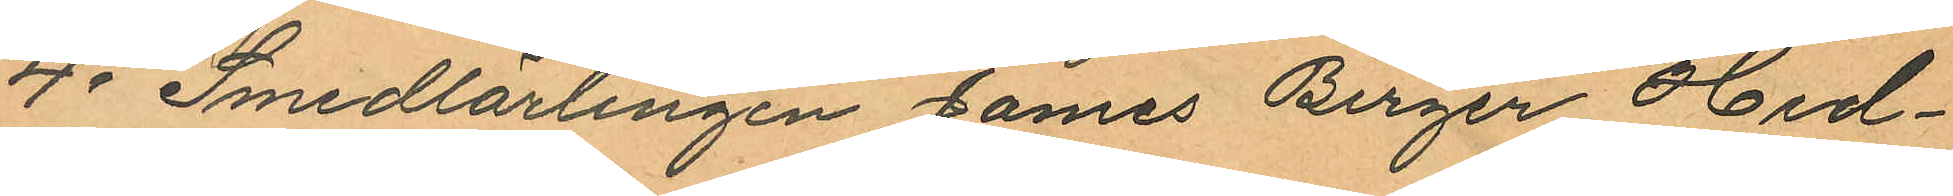4o Smedlärlingen James Birger Hed¬
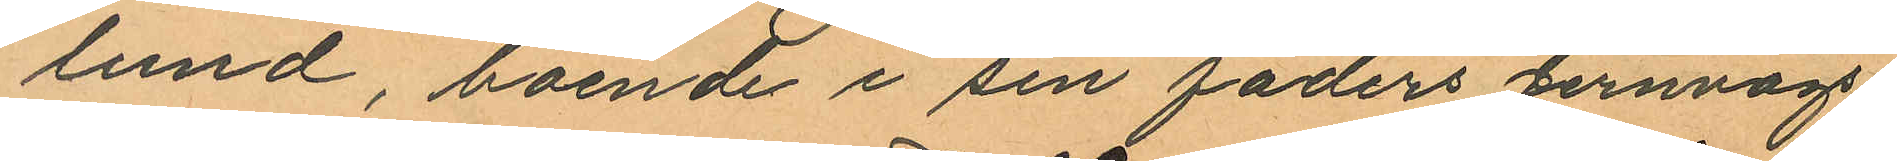lund, boende i sin faders Jernvägs¬
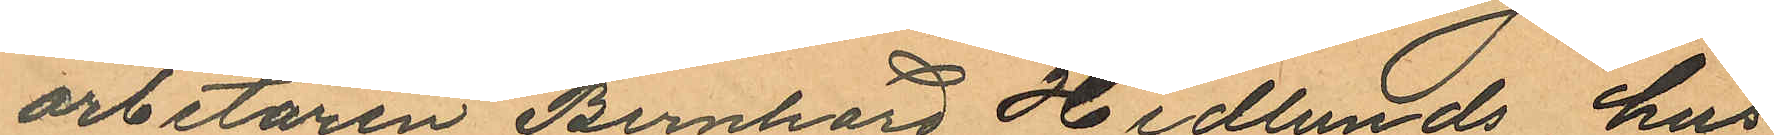arbetaren Bernhard Hedlunds hus
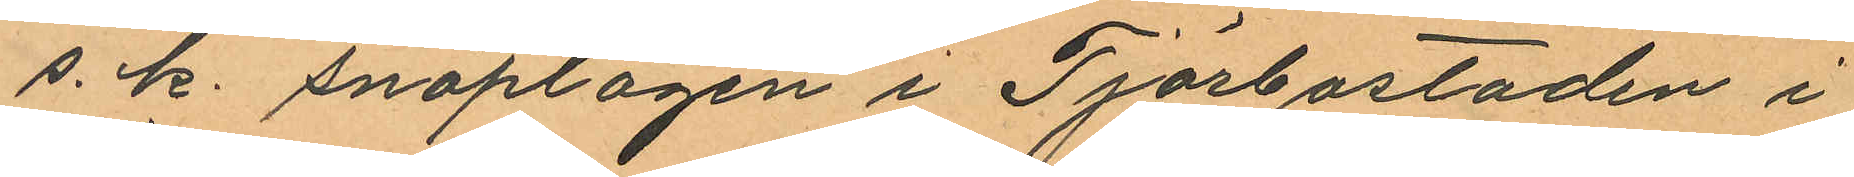s. k. snöplogen i Tjörbostaden i
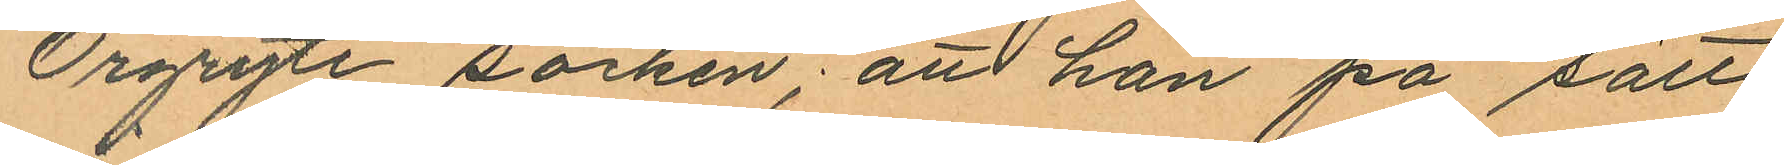Örgryte socken; attt han på sätt
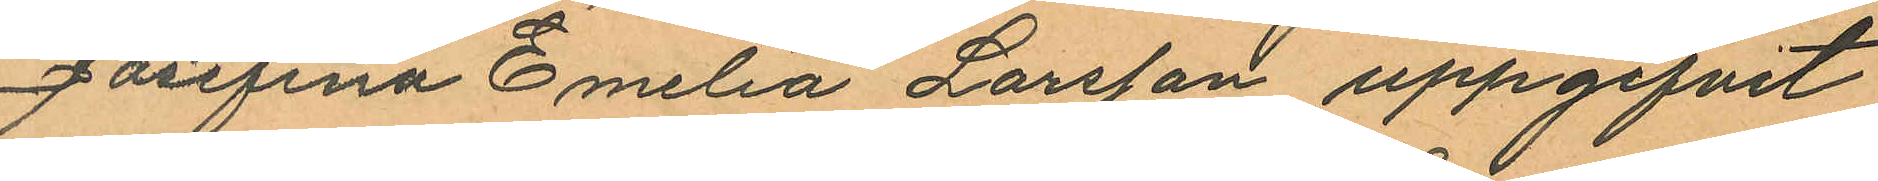Josefina Emilia Larsson uppgifvit
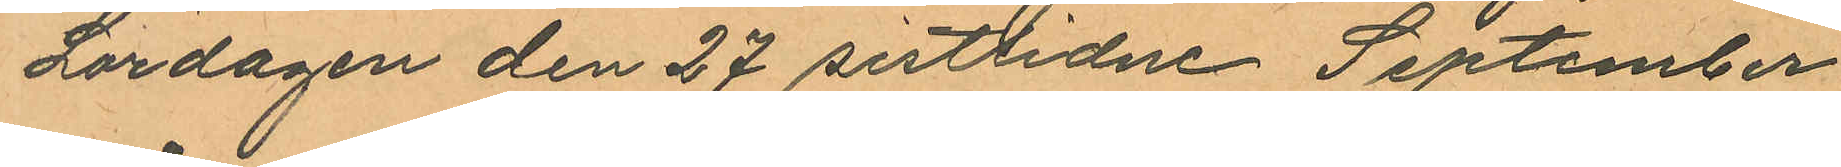Lördagen den 27 sistlidne September
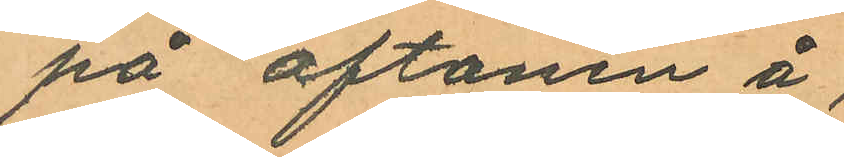på aftonen å
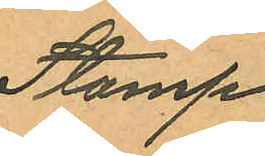Stamp
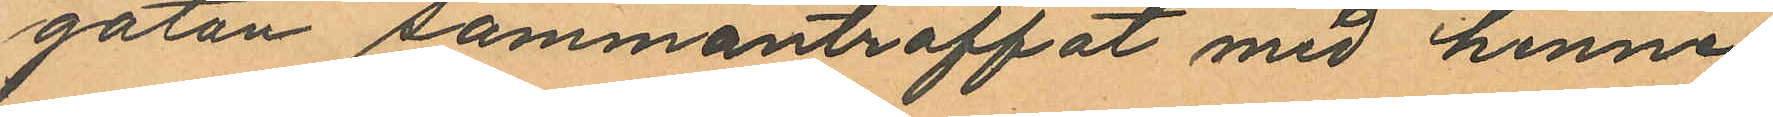gatan sammanträffat med henne,
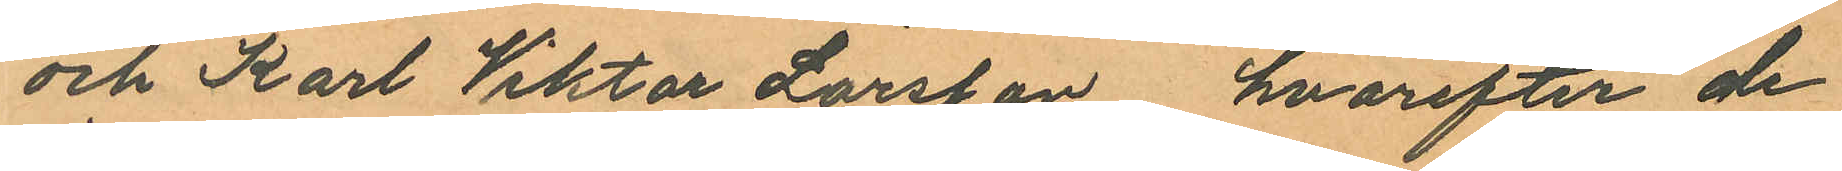och Karl Viktor Larsson, hvarefter de
